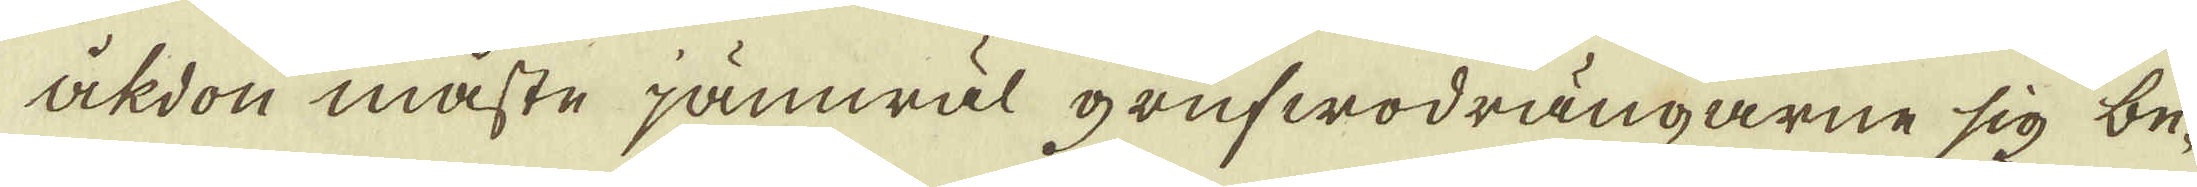åkdon måste jämwäl grufwodrängarne sig be-
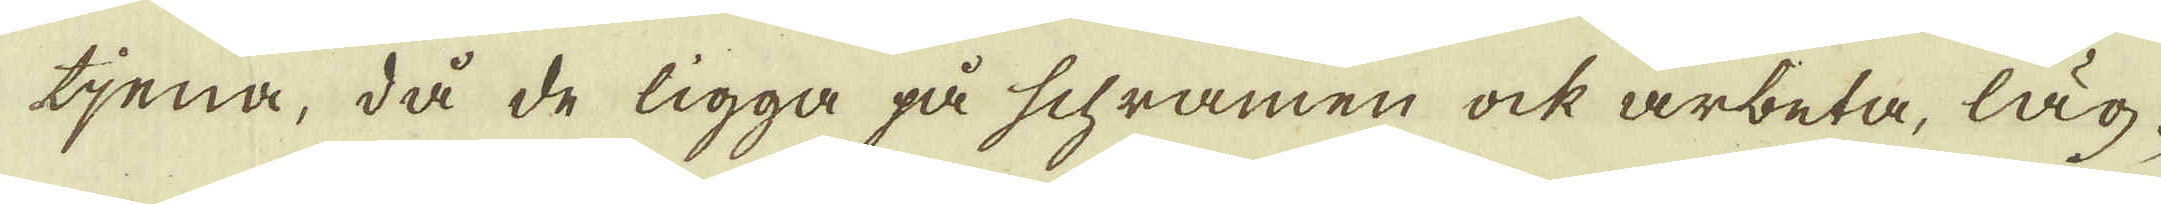tjena, då de ligga på schramen ock arbeta, läg-
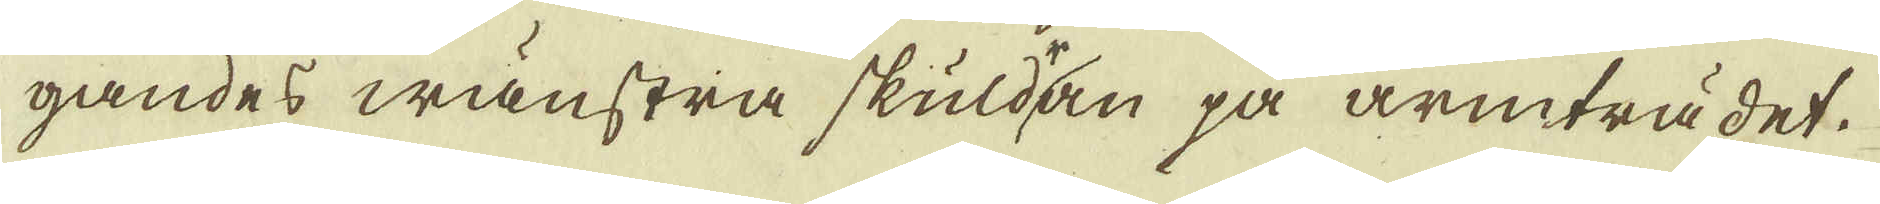gandes wänstra skuldan på armträdet.
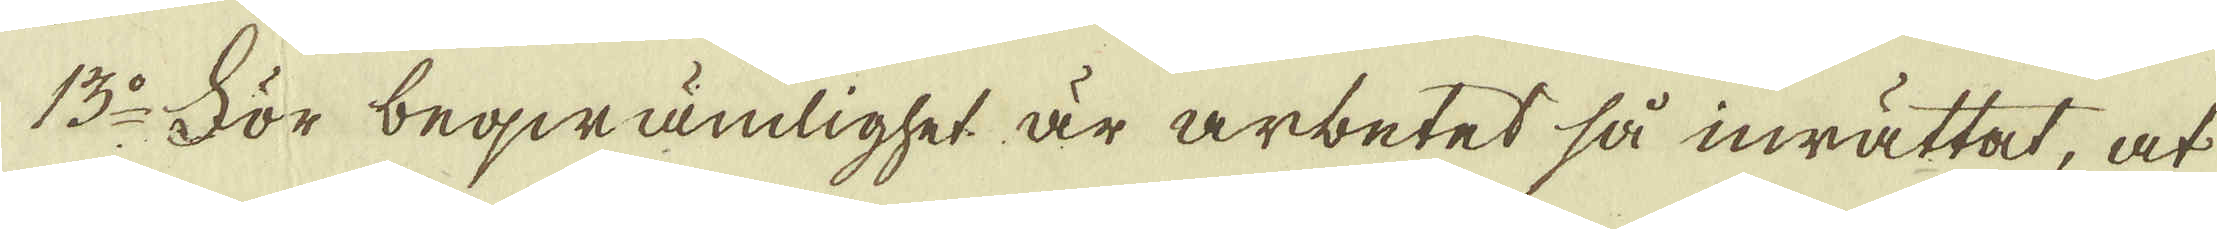13:o För beqwämlighet är arbetet så inrättat, at
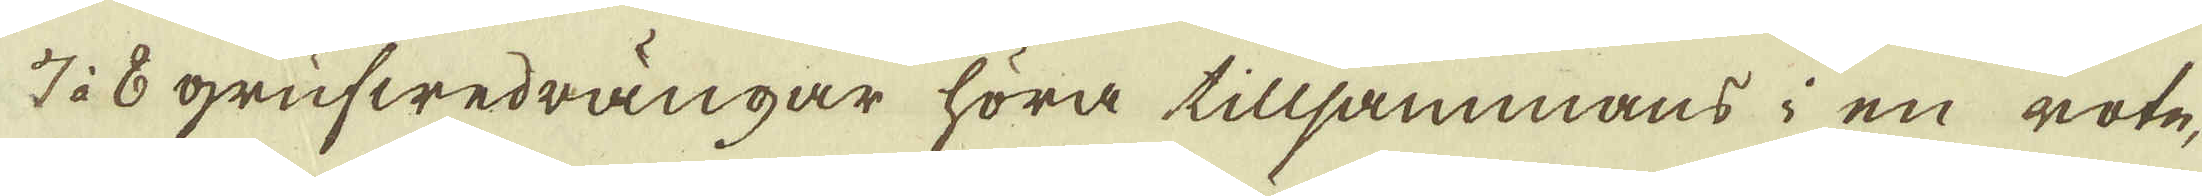7 à 8 grufwedrängar höra tillsammans i en rote,
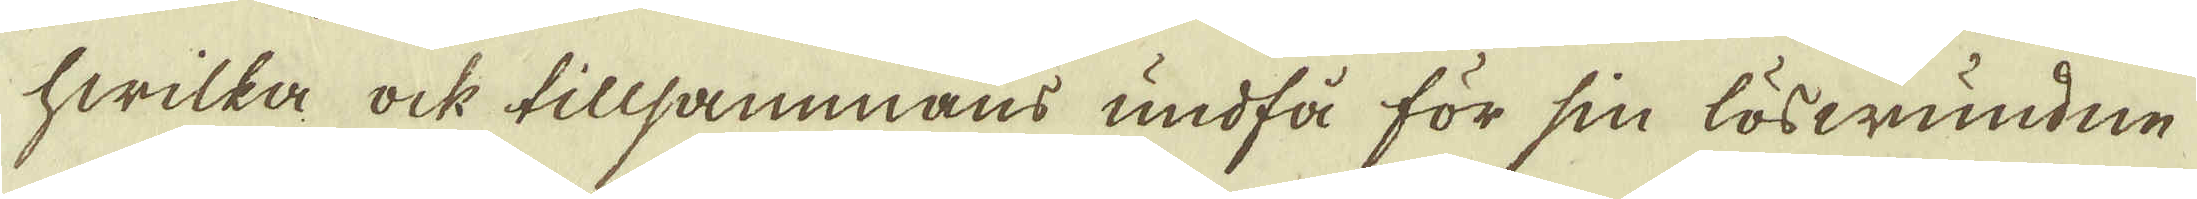hwilka ock tillsammans undfå för sin löswundne
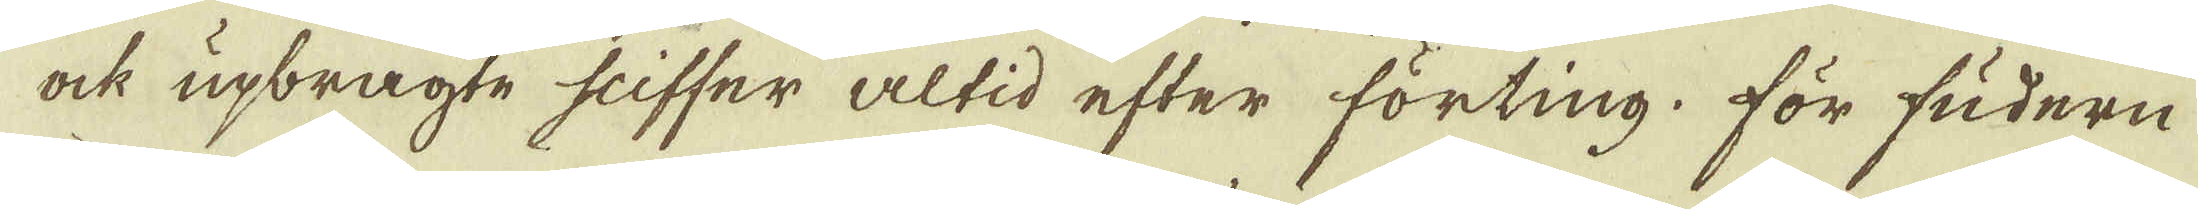ock upbragte sliffer altid efter förting, för fudern
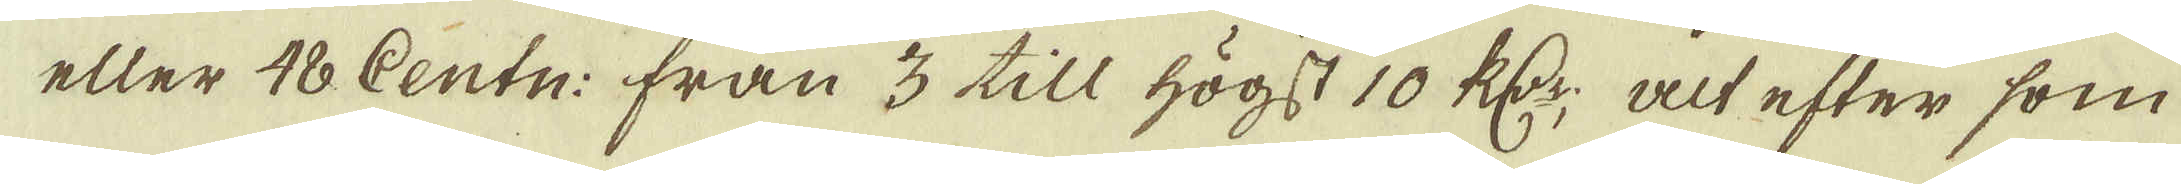eller 48 Centn: från 3 till högst 10 R:dr, alt efter som
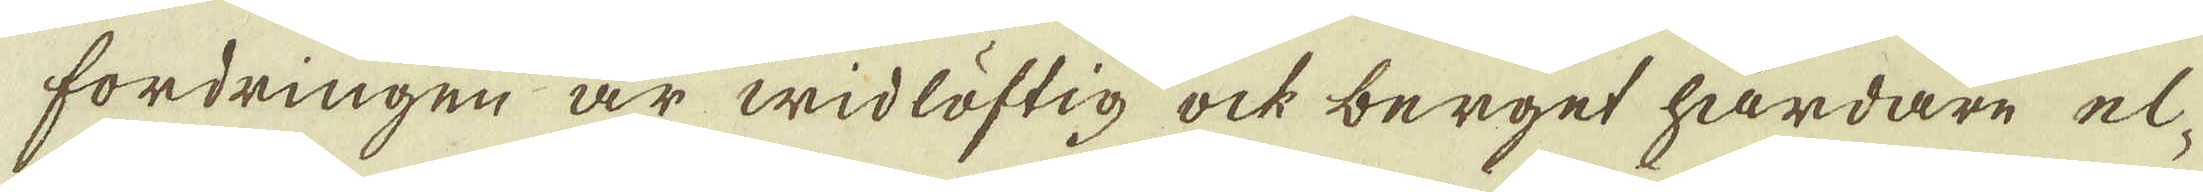fordringen är widlöftig ock berget hårdare el-
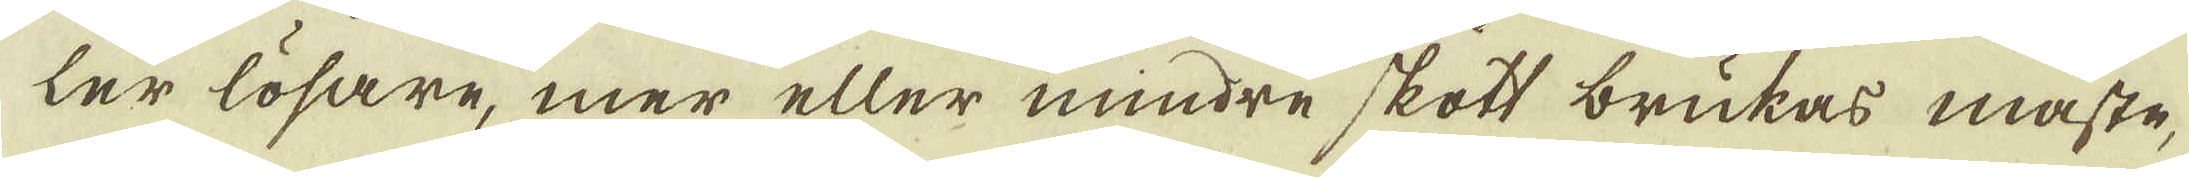ler lösare, mer eller mindre skott brukas måste,
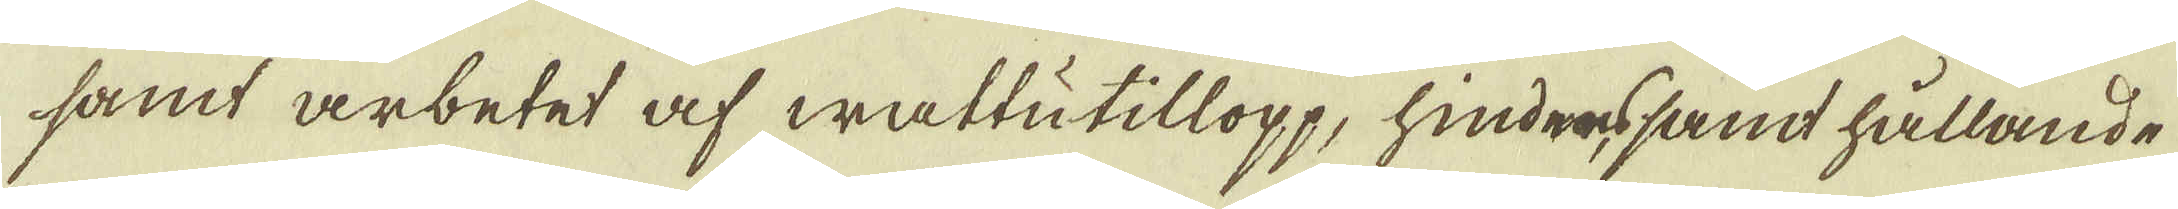samt arbetet af wattutillopp, hindressamt hållande
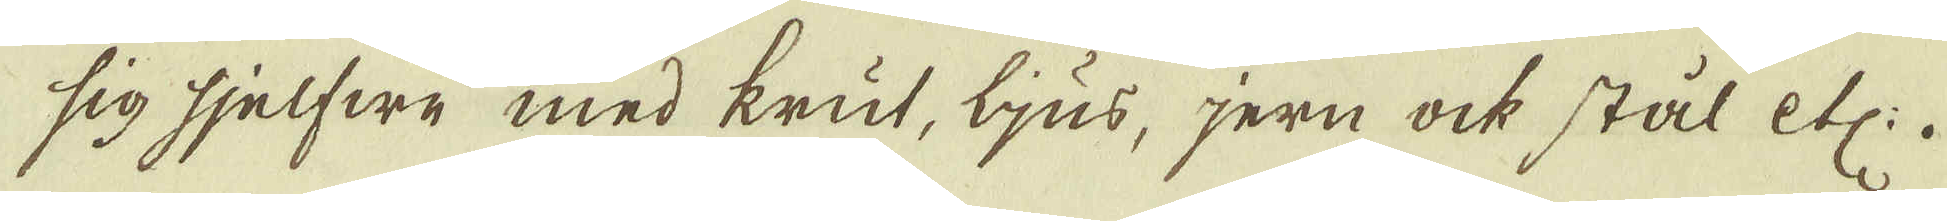sig sjelfwe med krut, ljus, jern ock stål etc:.
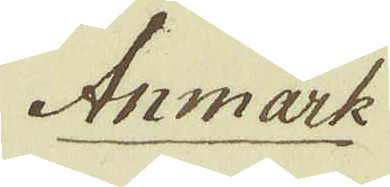Anmärk
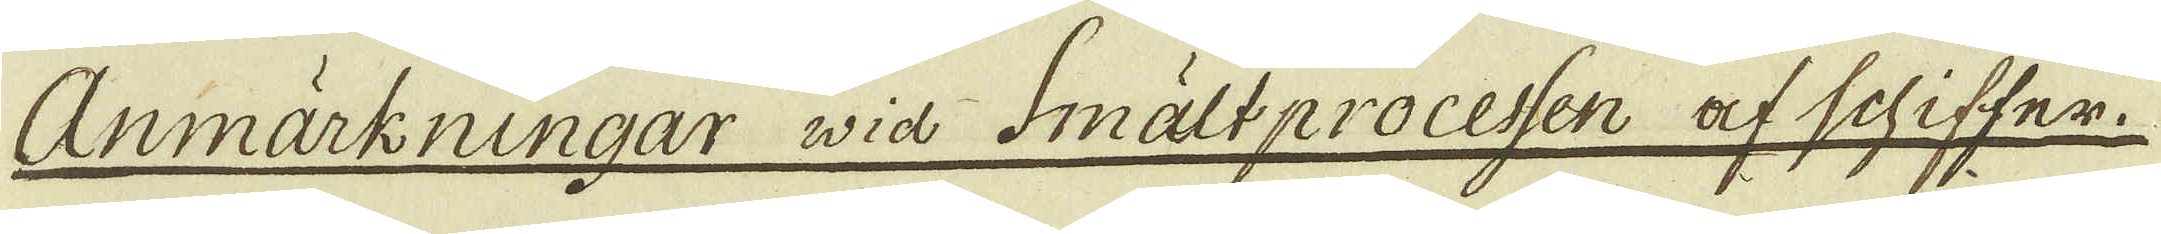Anmärkningar via Smältprocessen af schiffer.
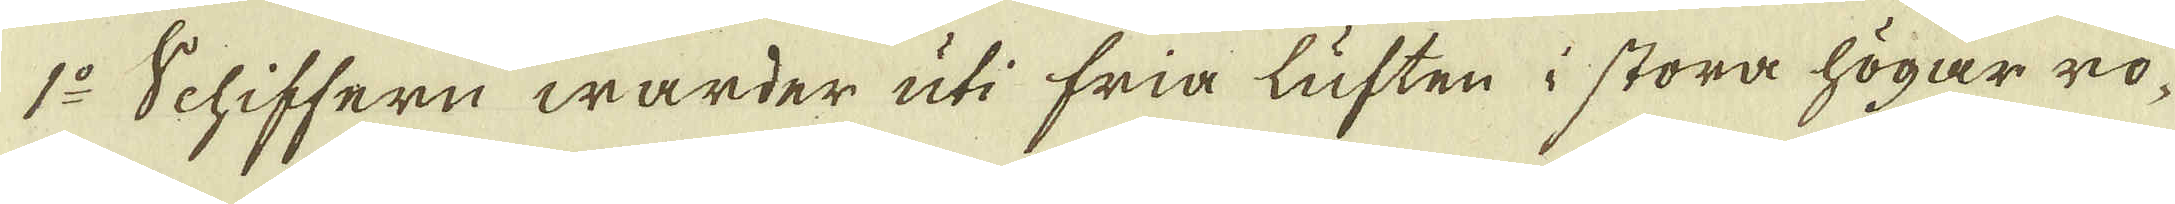1:o Schiffern warder uti fria luften i stora högar ro-
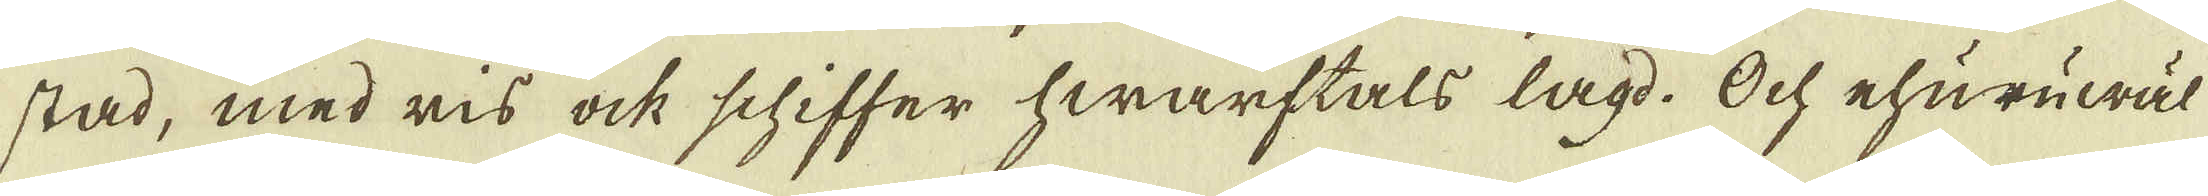stad, med ris ock schiffer hwarftals lagd. Ock ehuruwäl
